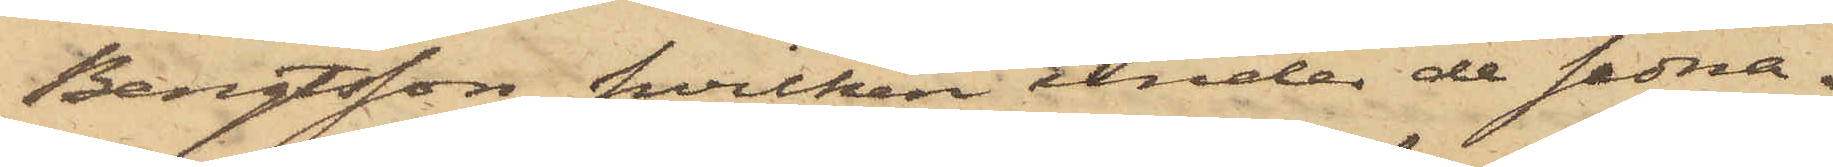Bengtsson, hvilken under de sedna¬
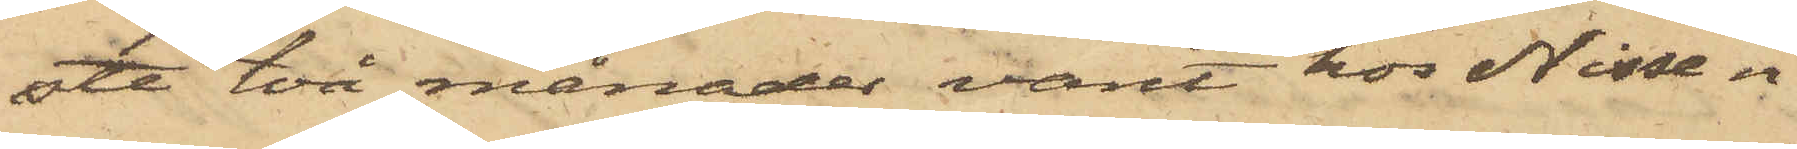ste två månader varit hos Nissen
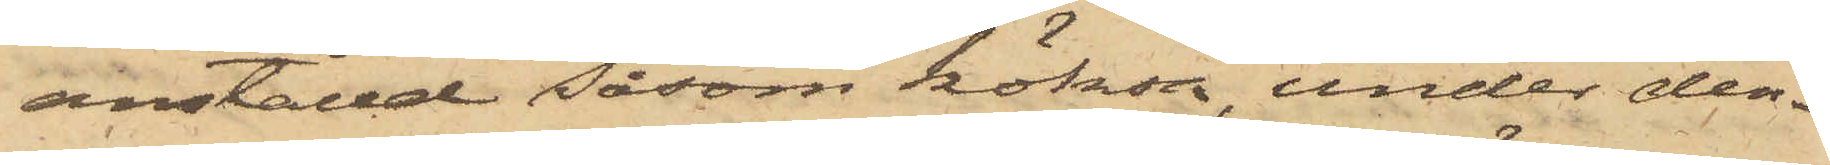anställd såsom köksa, under den¬
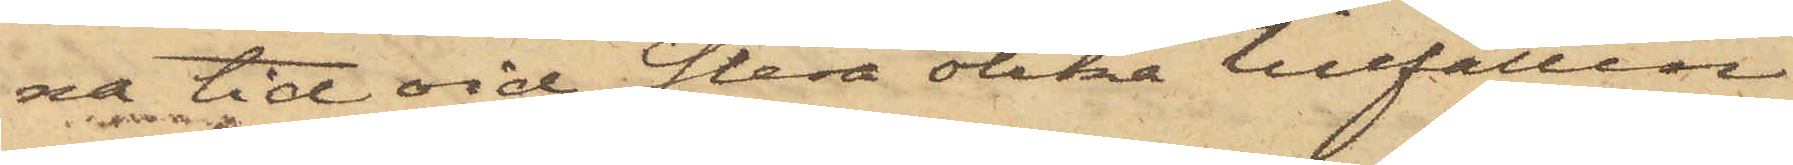na tid vid flera olika tillfällen
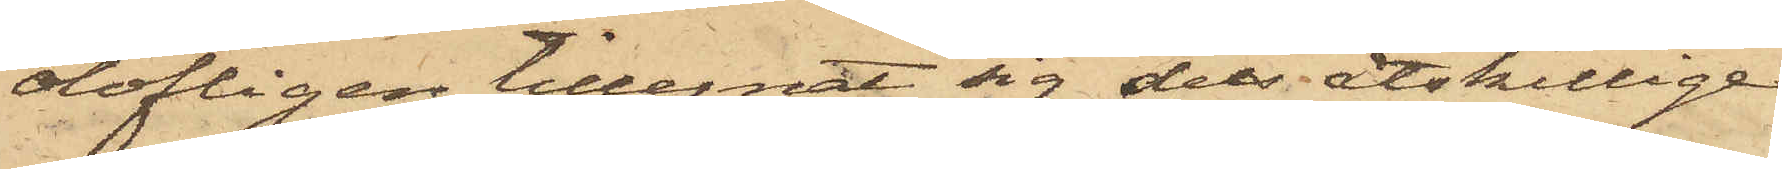olofligen tillegnat sig dels åtskillige
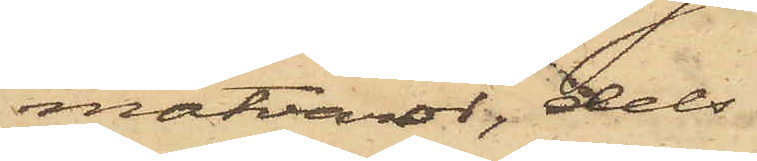matvaror, dels
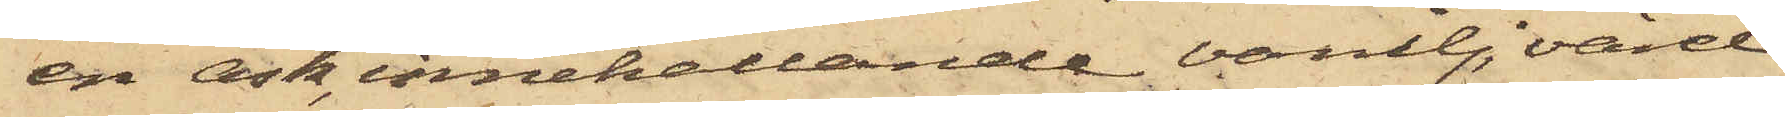en ask, innehållande vanilj, värd
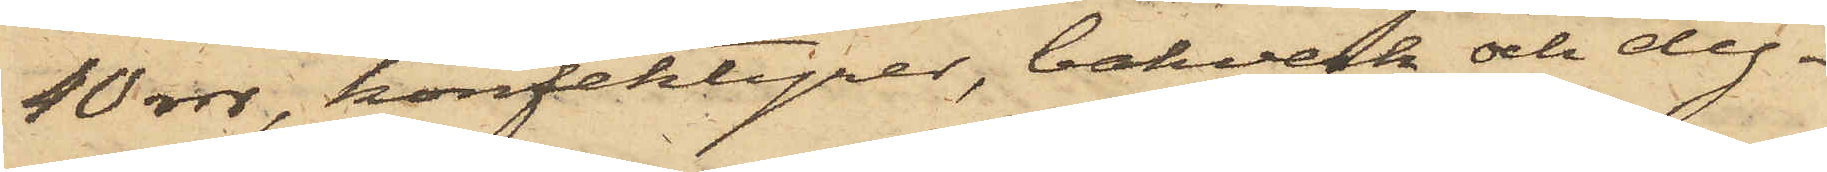40 rdr, konfektyrer, bakverk och dy¬
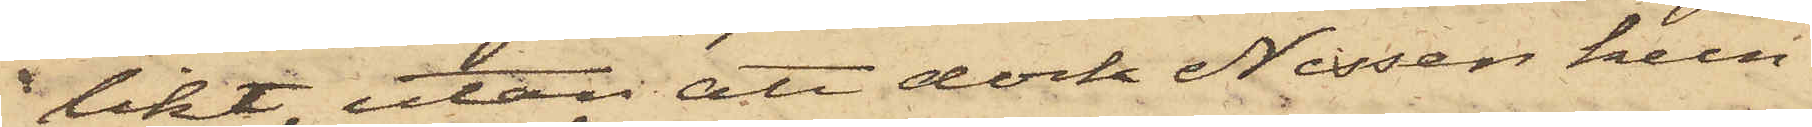likt, utan att dock Nissen kun¬
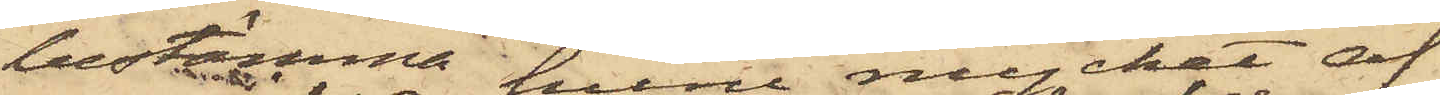bestämma huru mycket af
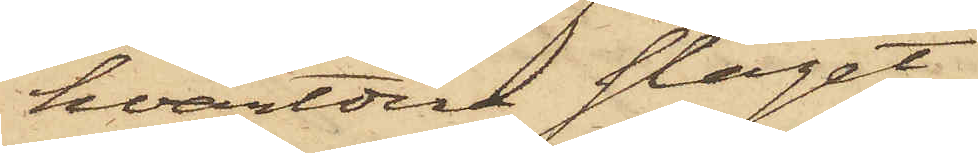hvardera slaget
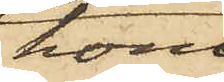hon
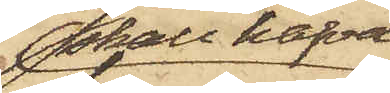skall hafva
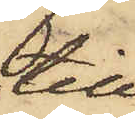till¬
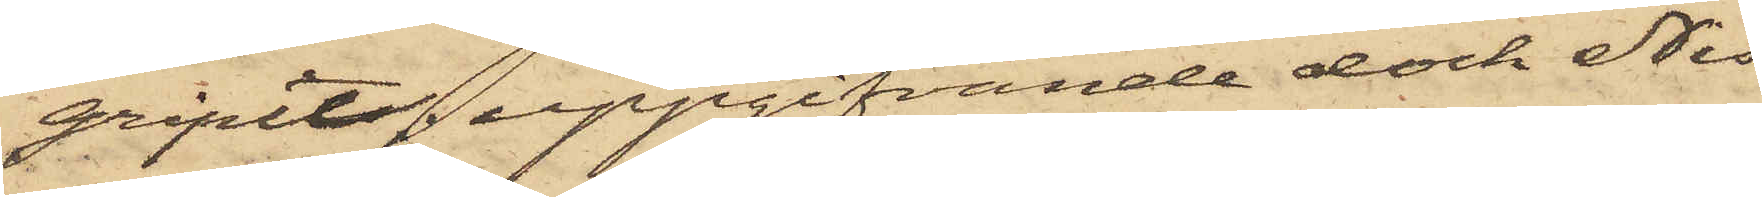gripit; uppgifvande dock Nis¬
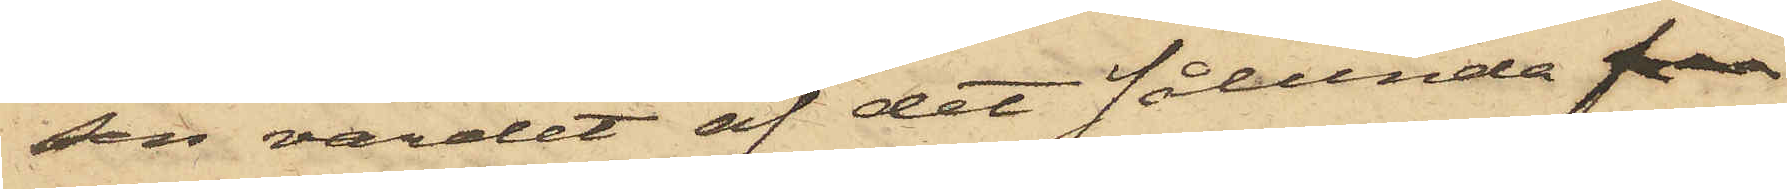sen värdet af det sålunda 
